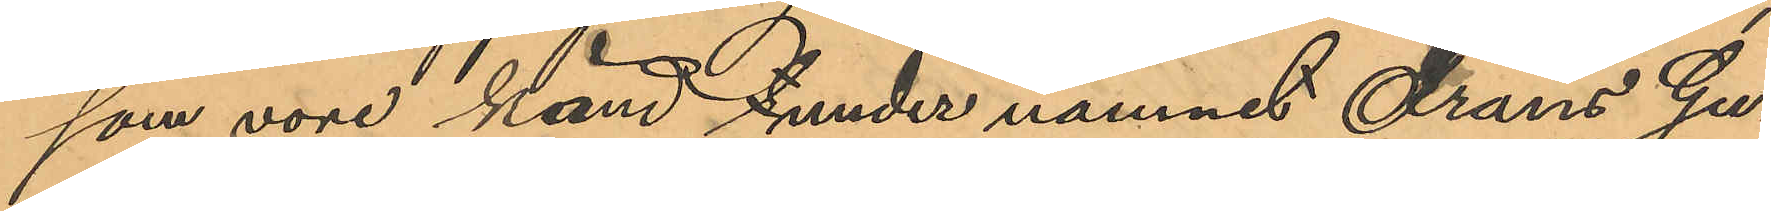som vore känd under namnet Frans Gu¬
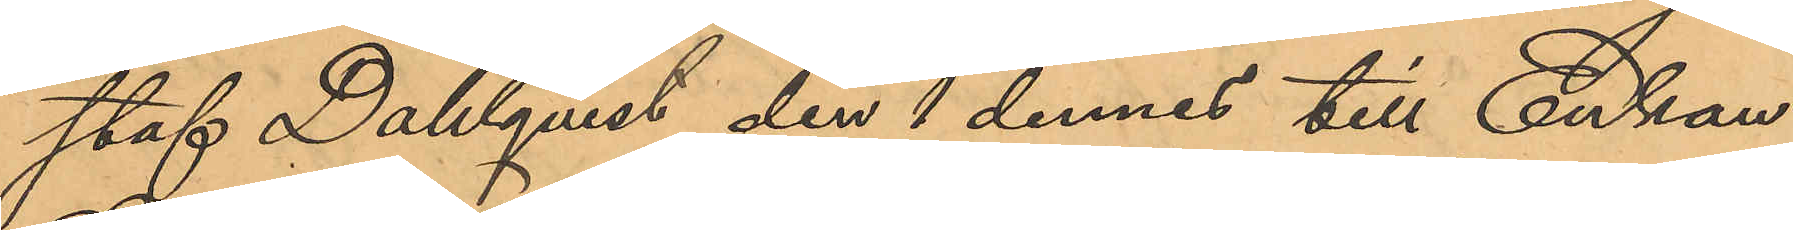staf Dahlqvist den 1 dennes till Enkan
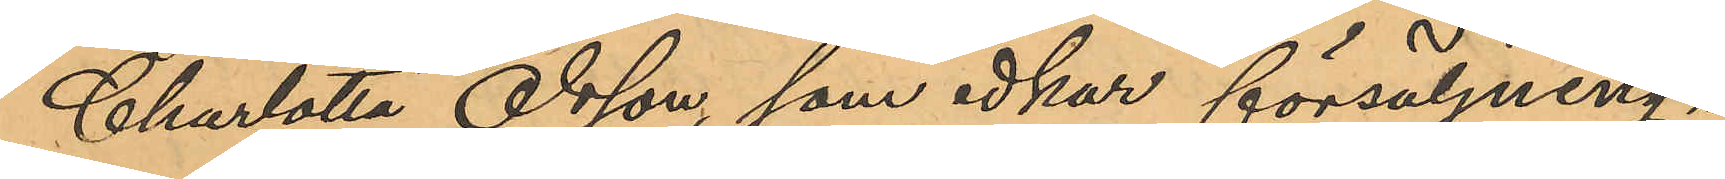Charlotta Olsson, som idkar försäljning i
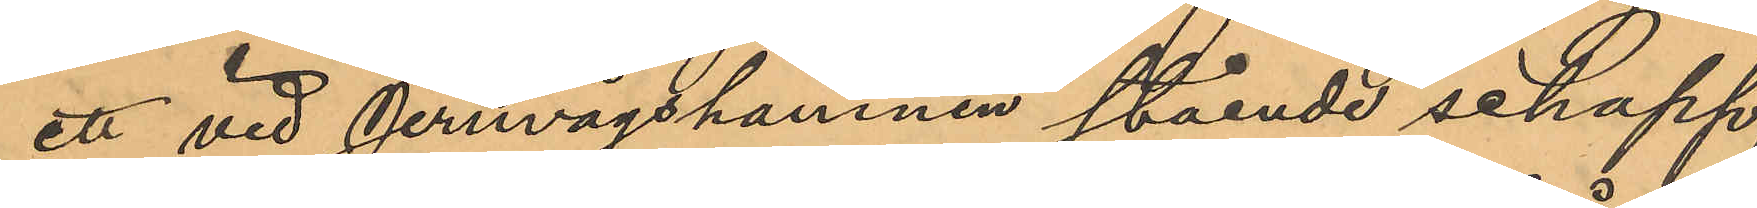ett vid Jernvägshamnen stående schapp,
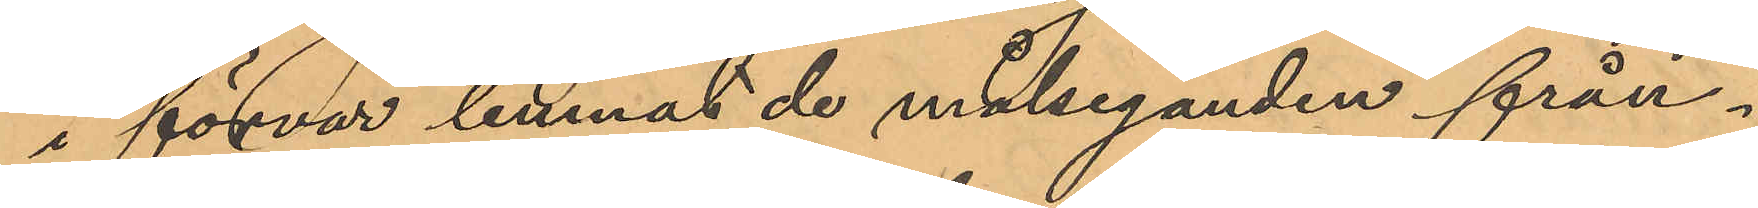i försvar lemnat de målseganden från¬
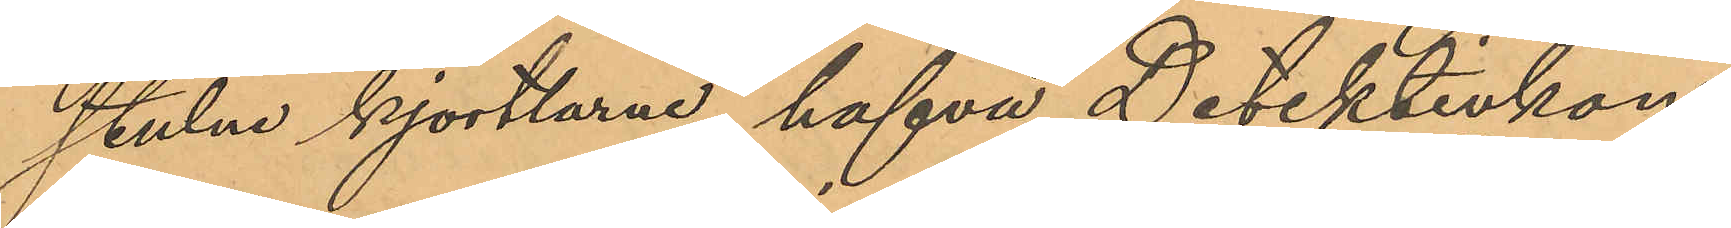stulne kjortlarne, hafva Detektivkon¬
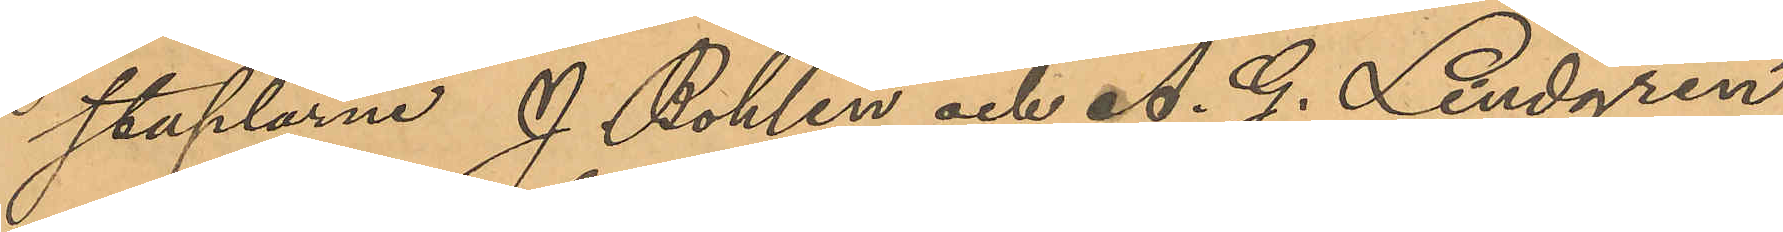staplarne J. Bohlin och A. G. Lindgren
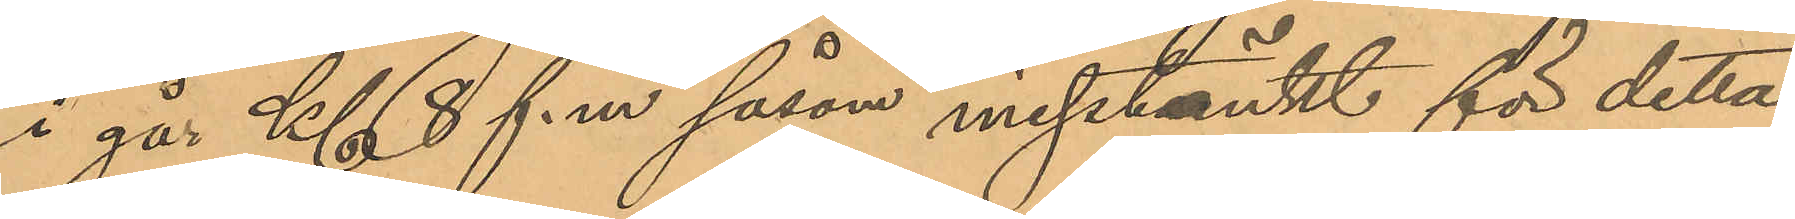i går Kl. 8 f. m såsom misstänkt för detta
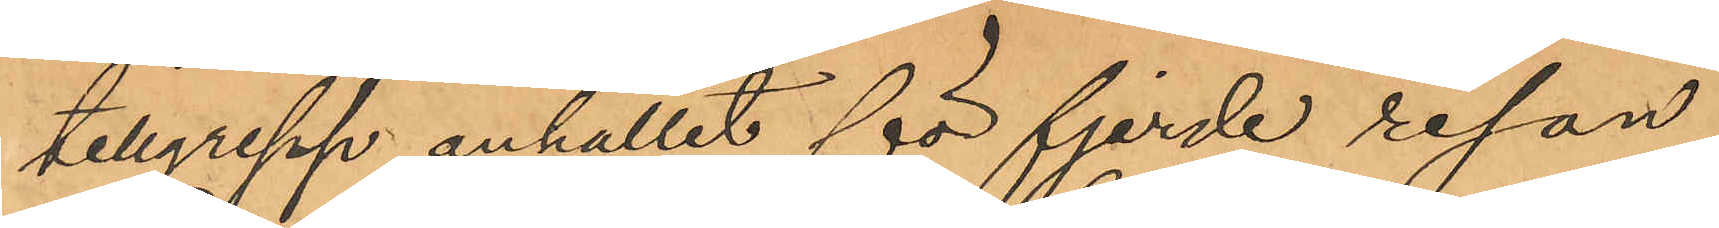tillgrepp anhållit för fjerde resan
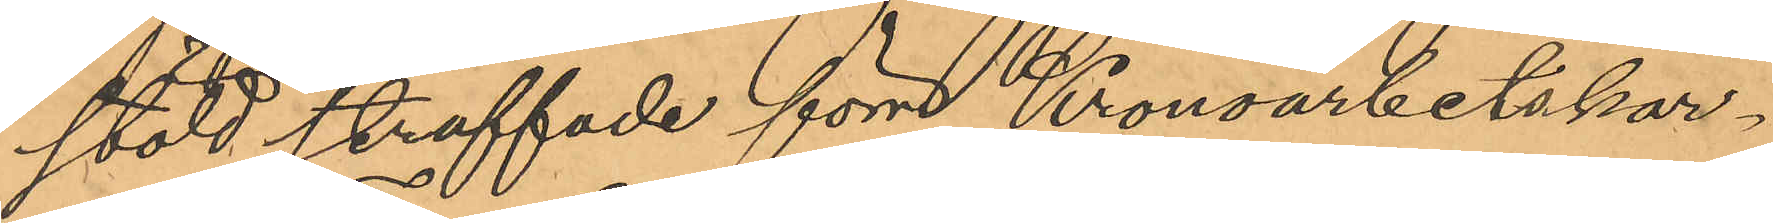stöld straffade förre Kronoarbetskar¬
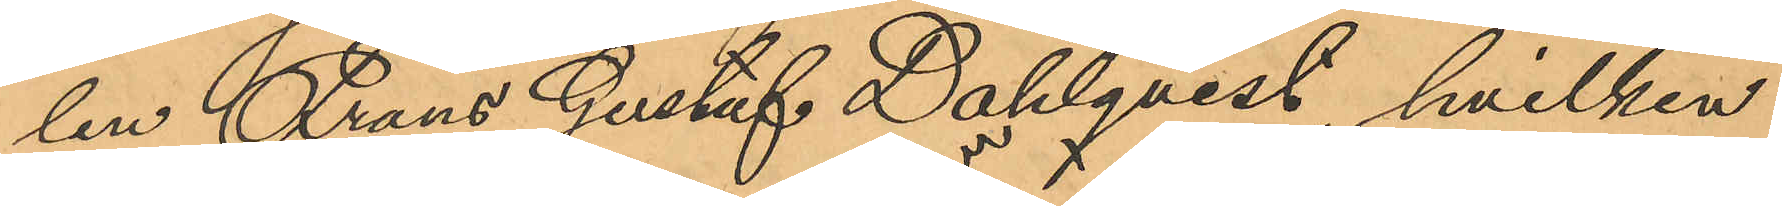len Frans Gustaf Dahlqvist, hvilken
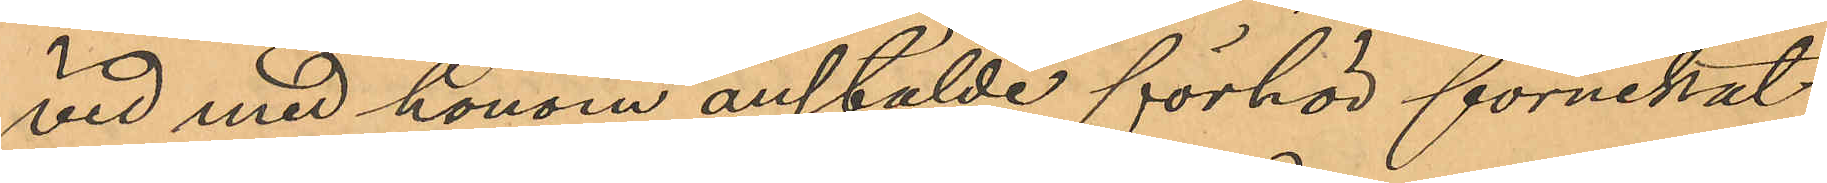vid med honom anstälde förhör förnekat
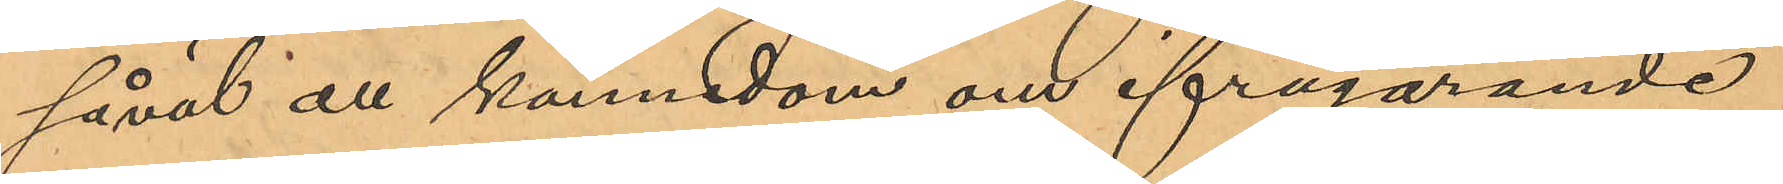såväl all kännedom om ifrågarande
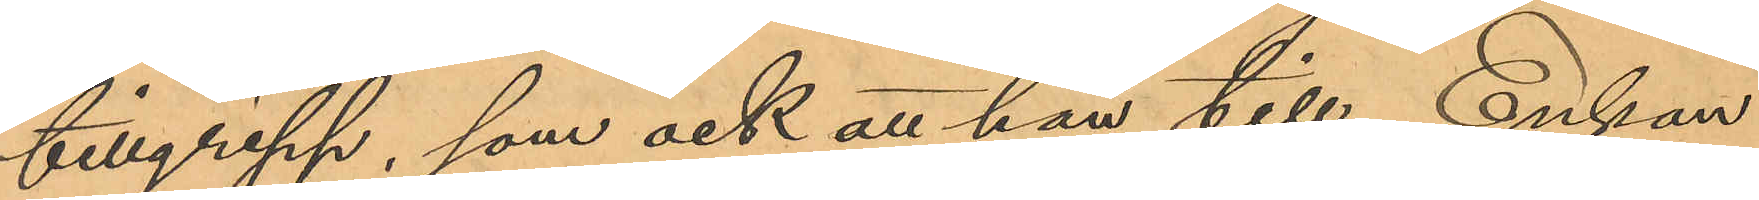tillgrepp, som ock att han till Enkan
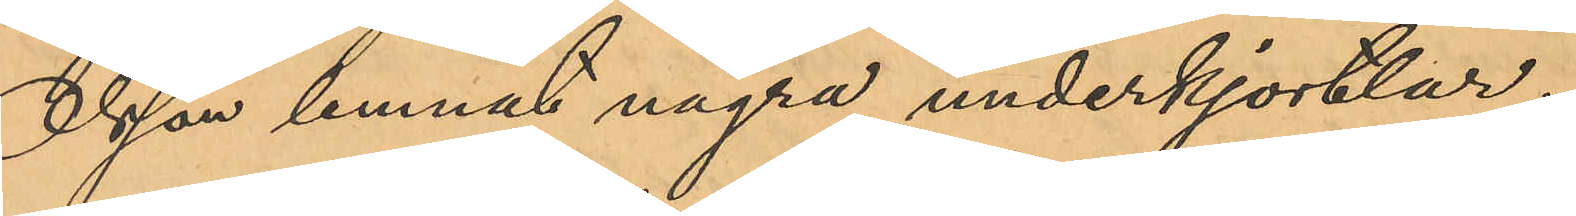Olsson lemnat några underkjortlar.
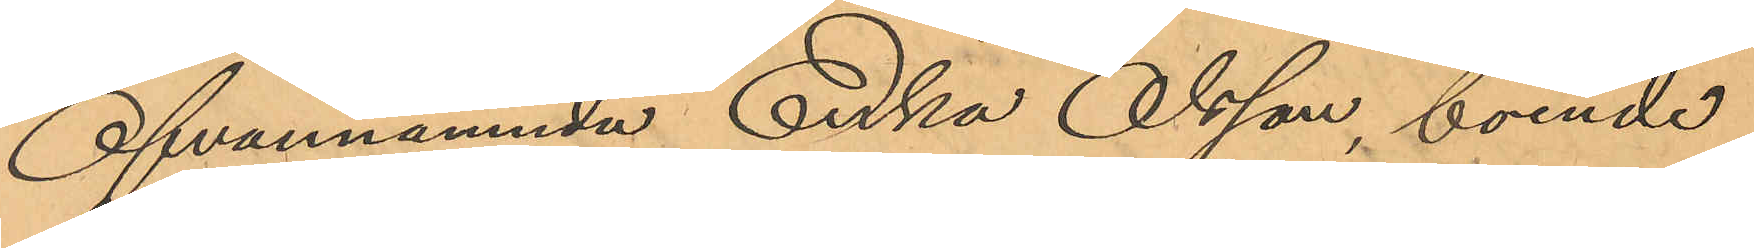Ofvannämnde Enka Olsson, boende
